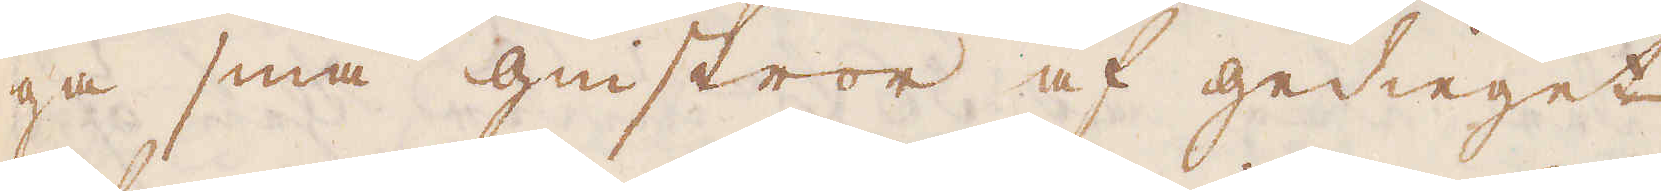ga små gistror af gedieget
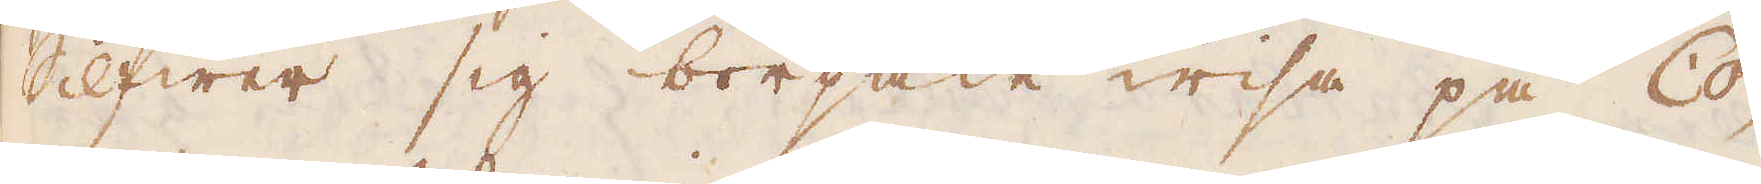Silfwer sig började wisa på Co-
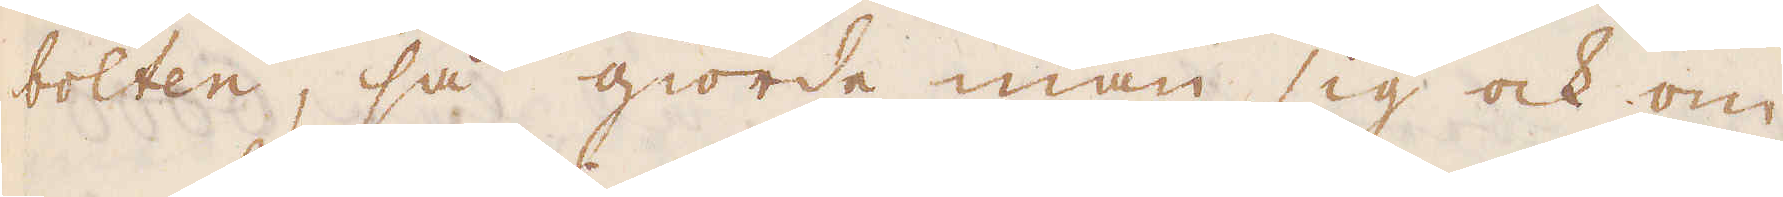bolten, så giorde man sig ock om
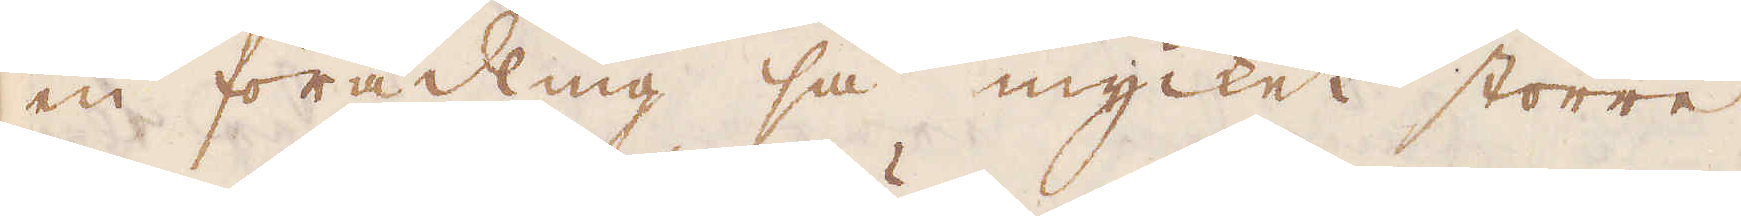en förädling så mycket större
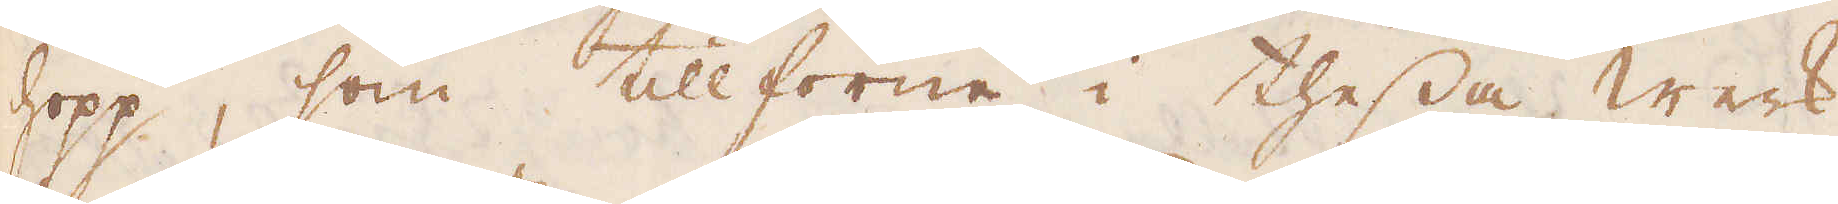hopp, som tillförene i thessa werk
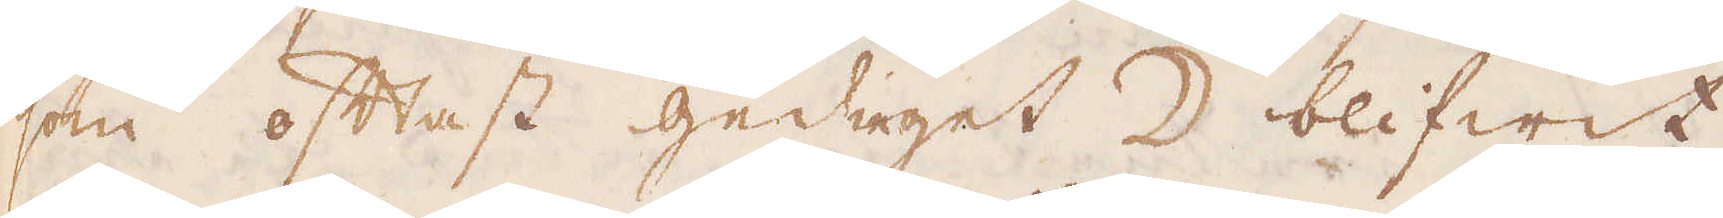som oftast gedieget ☽ blifwit
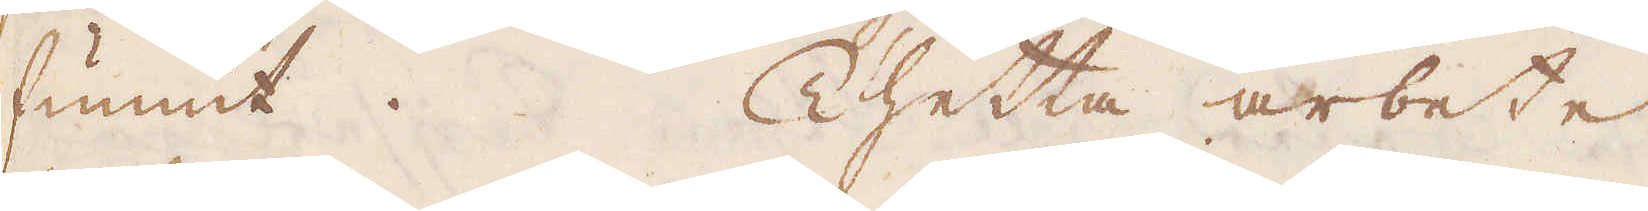funnit. Thetta arbete
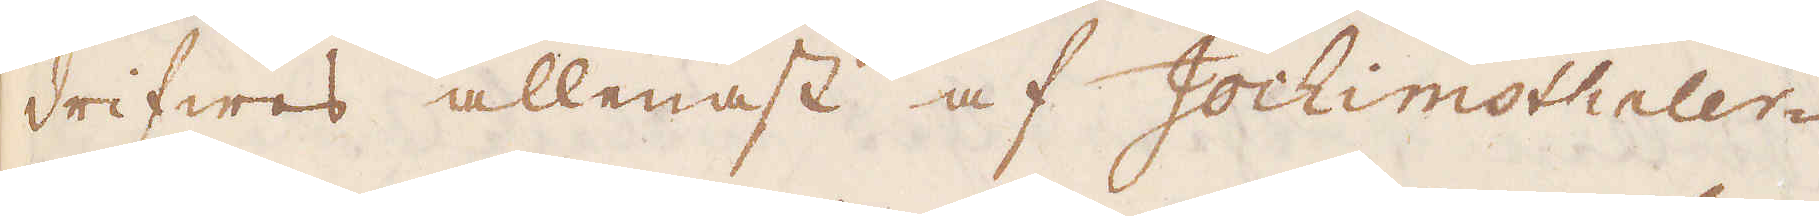drifwes allenast af Jochimsthaler-
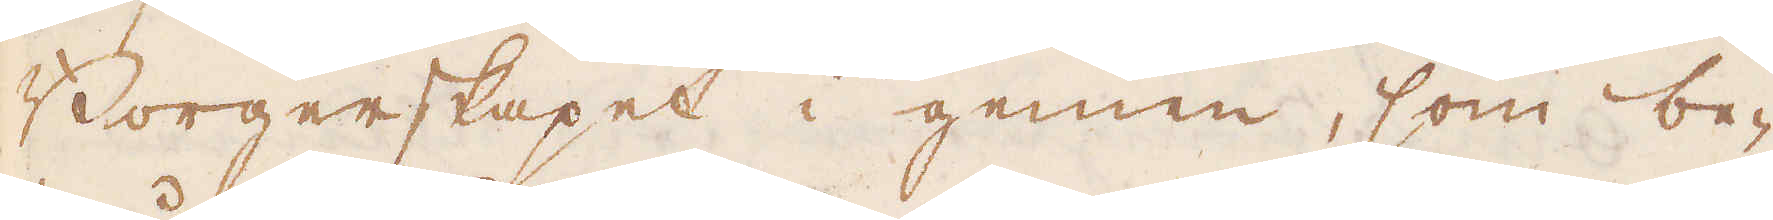Borgerskapet i gemen, som be-
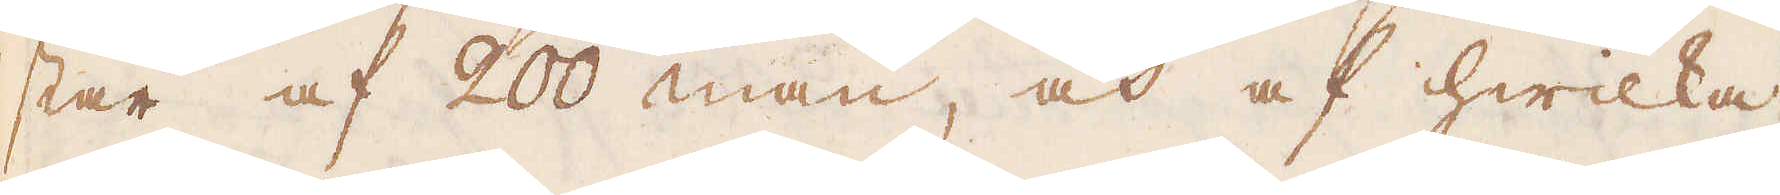står af 200 man, och af hwilka
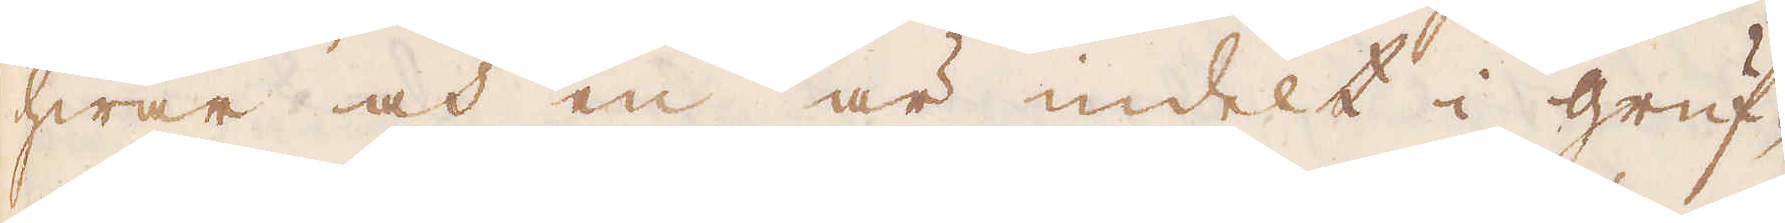hwar och en är undelt i gruf-
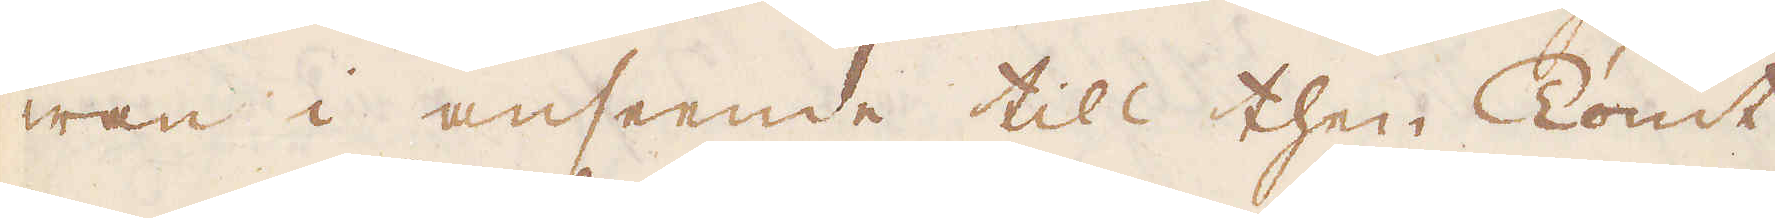wan i anseende till then Tomt
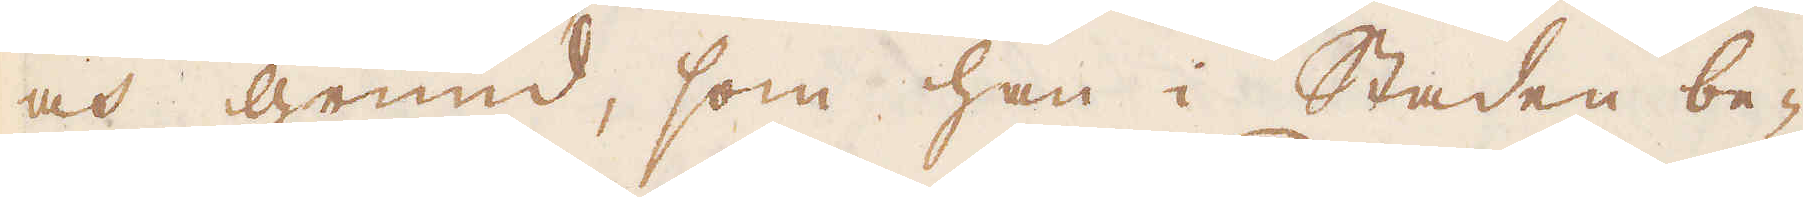och grund, som han i Staden be-
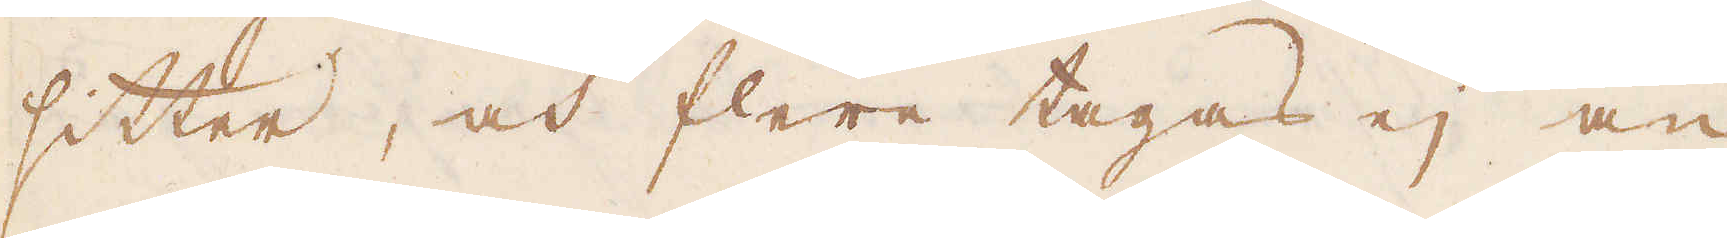sitter, och flere tages ej an,
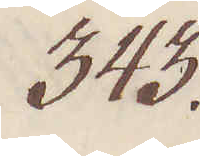343.
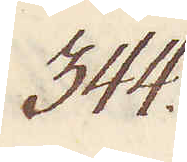344.
